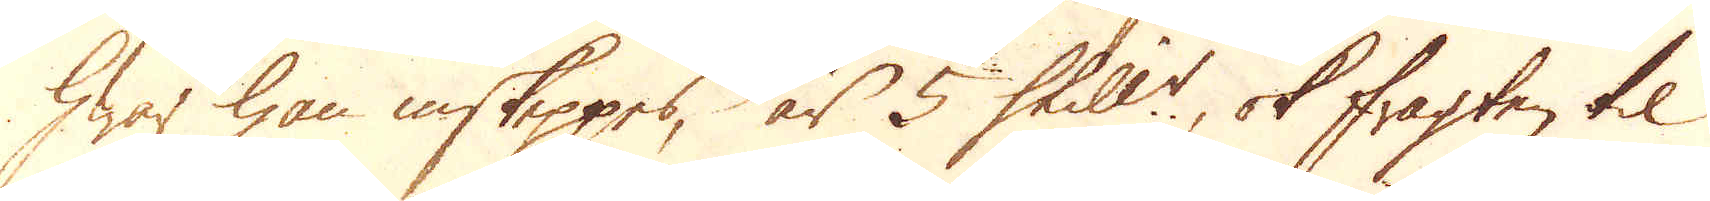hwar han inskeppes, är 5 Skill:r, ok fragten til
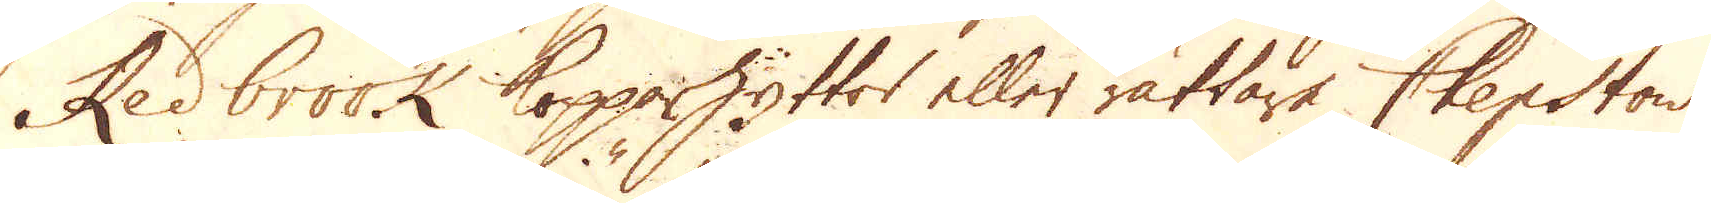Redbrook Kopparhyttor eller rättare Chepstow
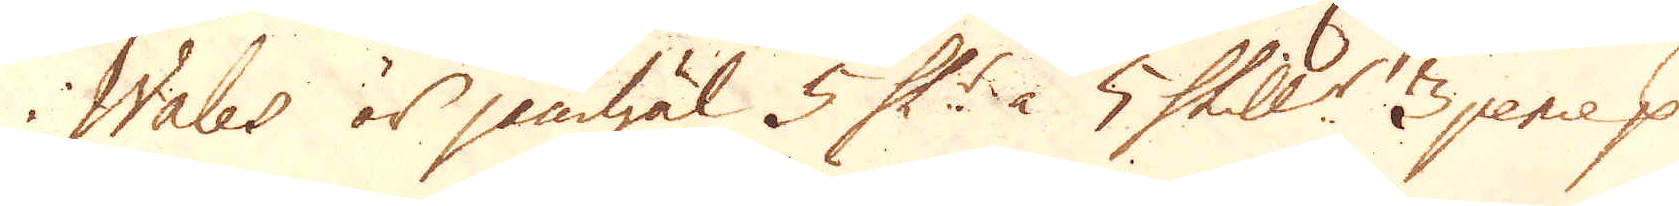i Wales är jämwäl 5 Sk:r à 5 Skill:r 3 pence p
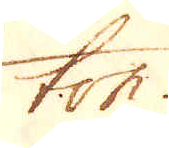ton.
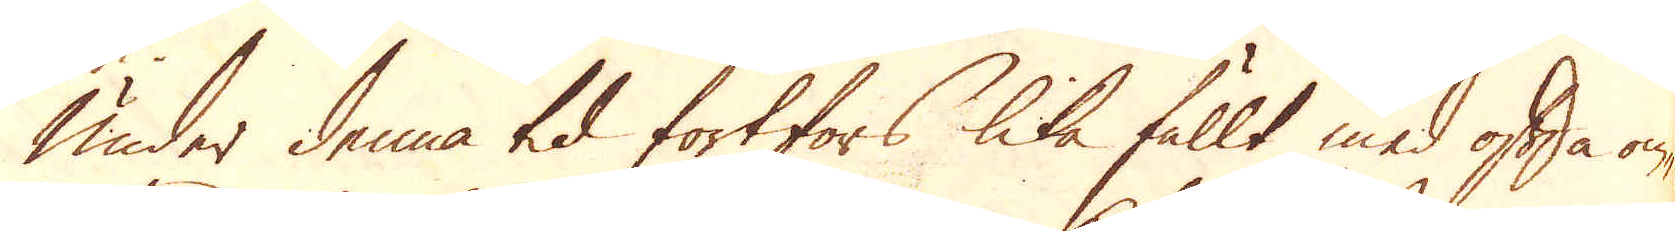Under denna tid fortfors lika fullt med ofta om-
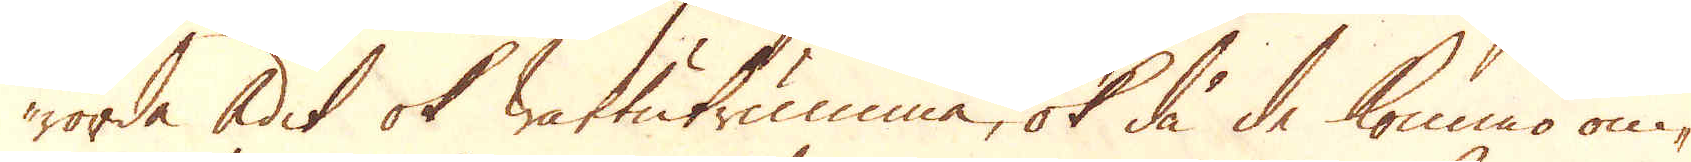rörda Adit ok wattutrumma, ok då de kommo om-
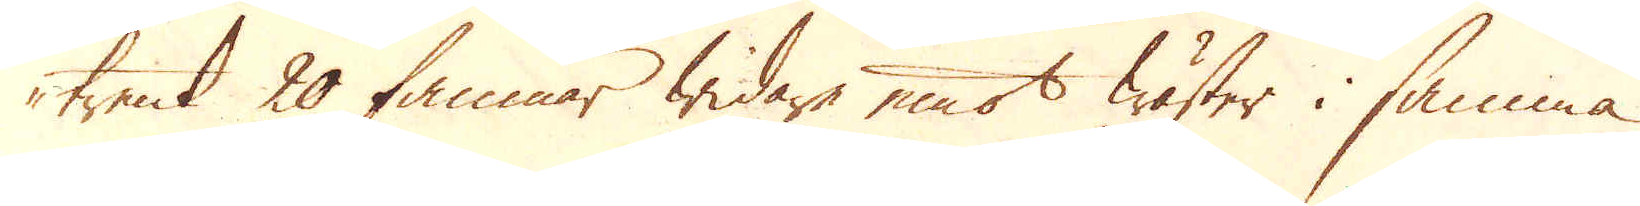trent 20 famnar widare emot wäster i samma
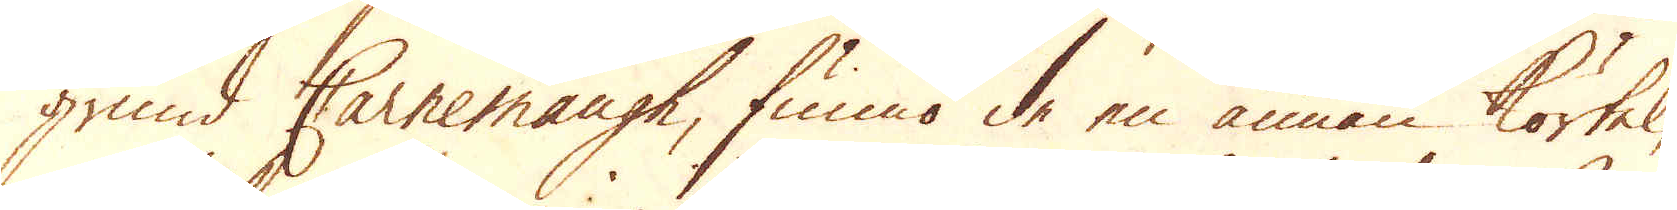grund Carnemough, funno de en annan körtel,
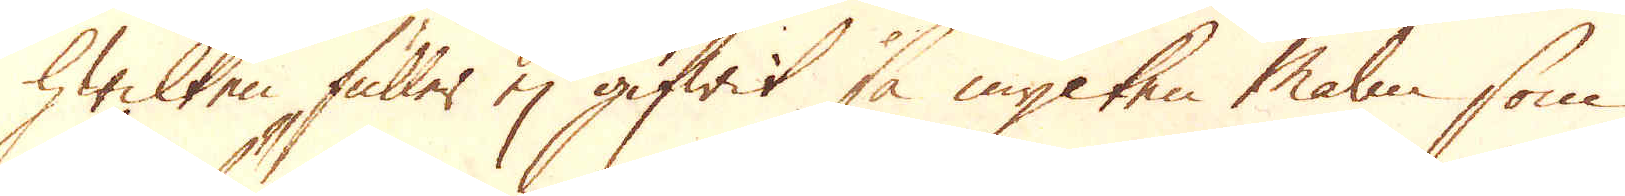hwilken fuller ej gifwit så mycken Malm som
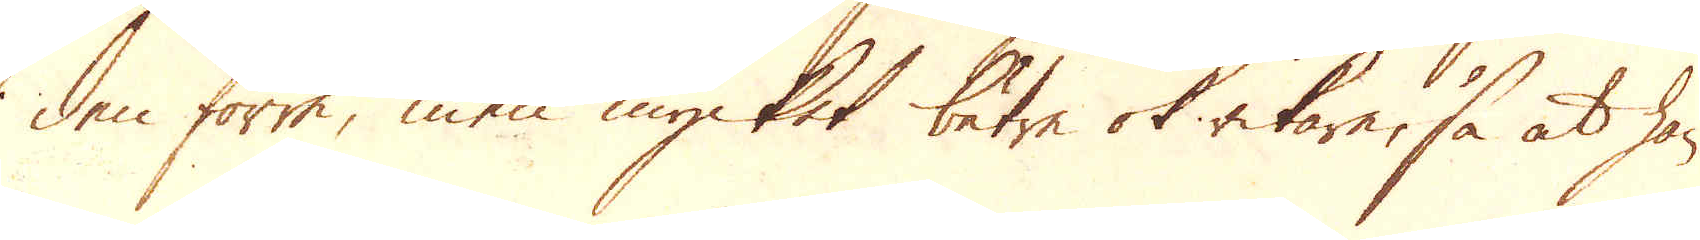den förra, men mycket bätre ok rikare, så at han
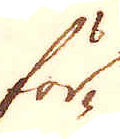för-
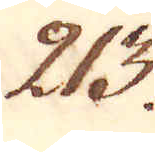213.
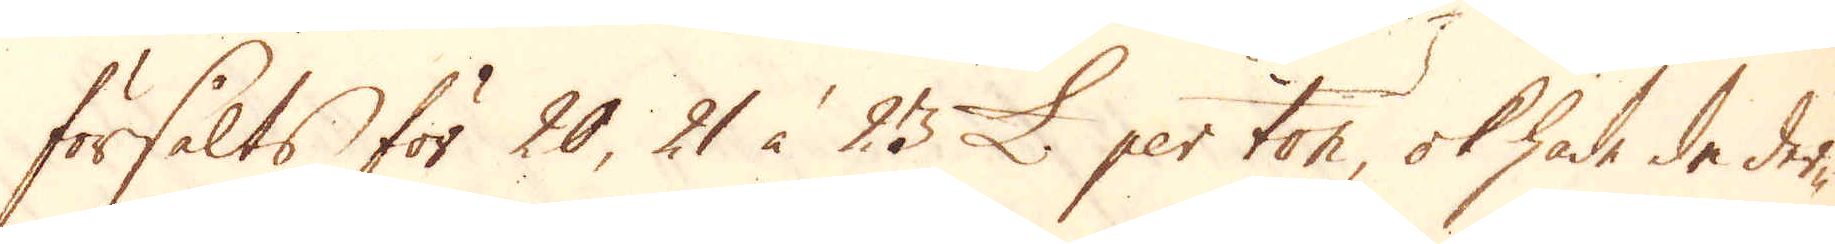försålts för 20, 21 à 23 £. per ton, ok hade de der-
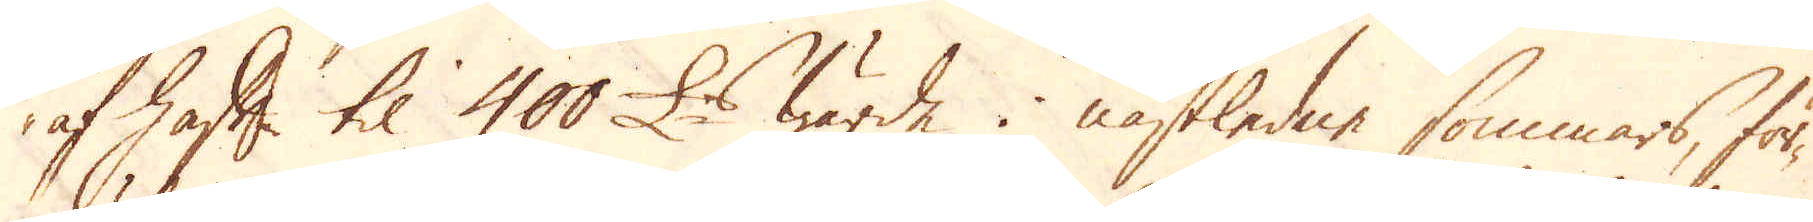af haft til 400 £:s wärde i nästledne sommars, för-
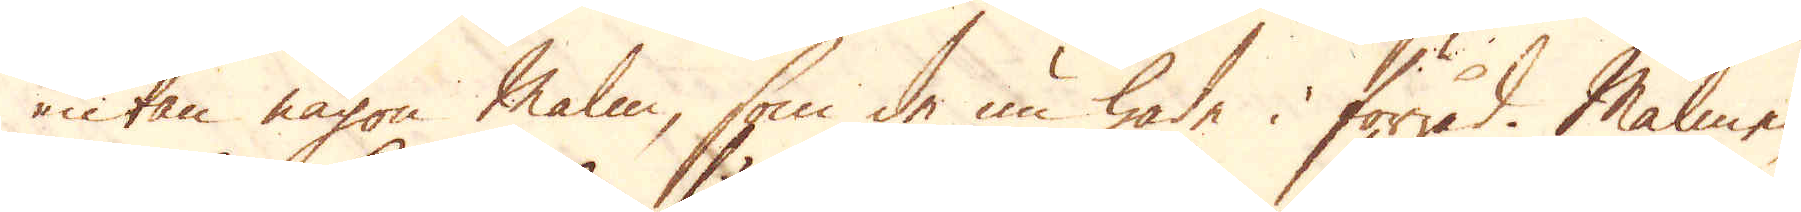utan någon malm, som de nu hade i förråd. Malmen
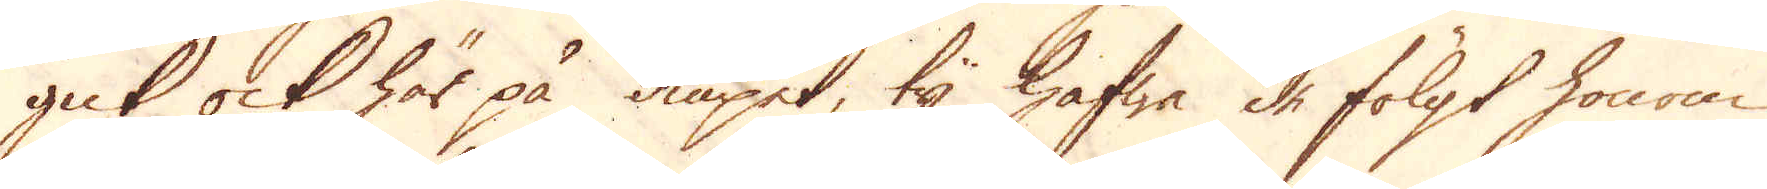gick ock här på diupet, ty hafwa de fölgt honom
